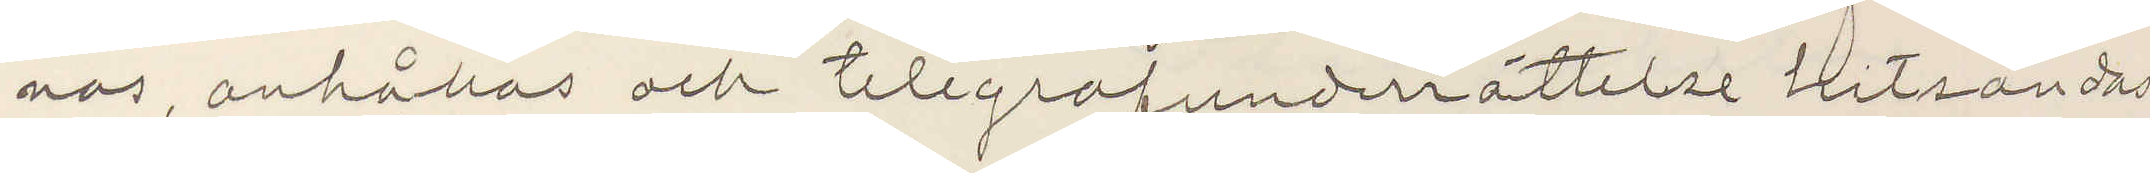nas, anhållas och telegrafunderrättelser hitsändas
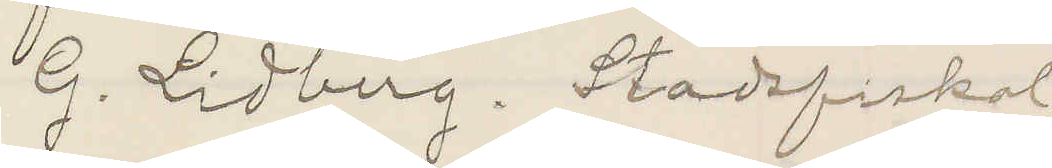G. Lidberg. Stadsfiskal
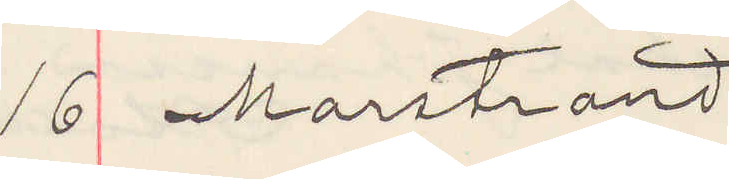16 Marstrand
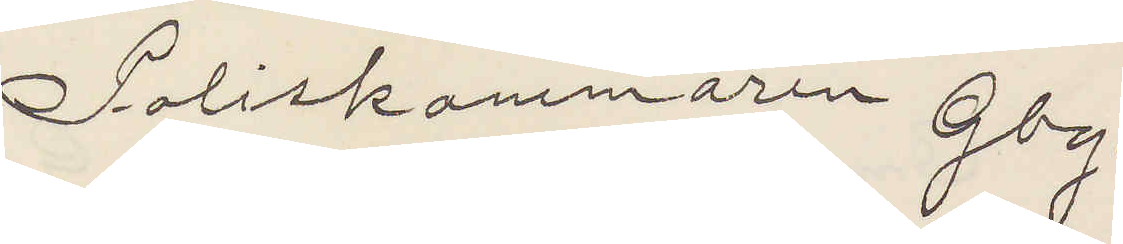Poliskammaren Gbg.
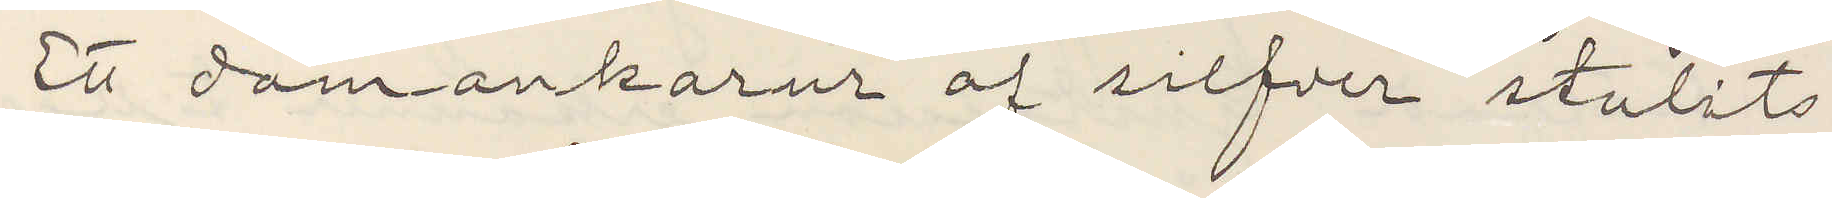Ett damankarur af silfver stulits.
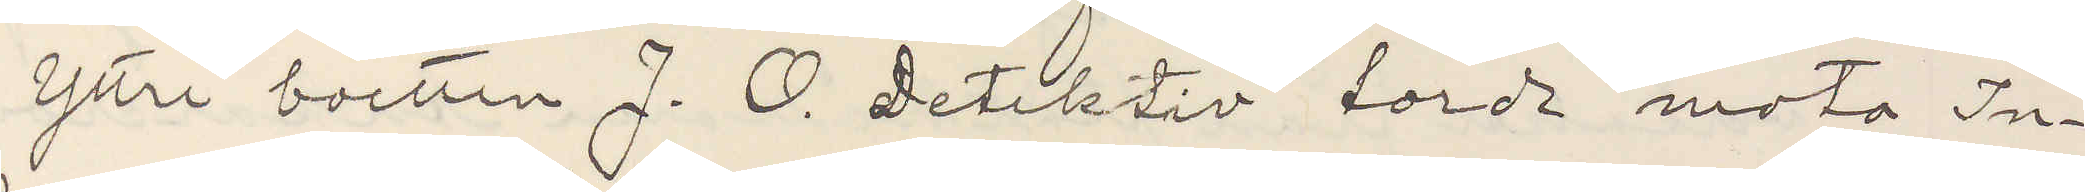Yttre boetten J. O. Detektiv torde mota In¬
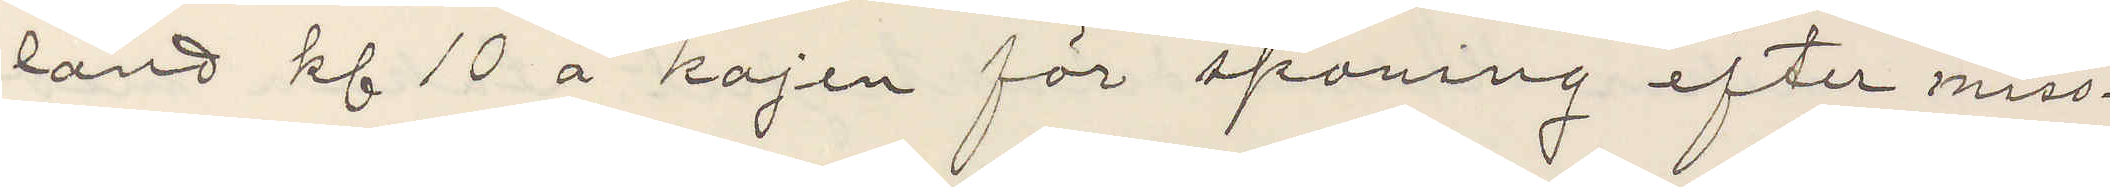land kl 10 å kajen för spaning efter miss¬
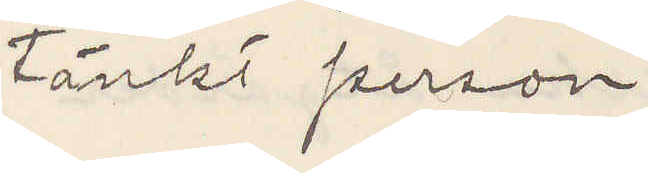tänkt person
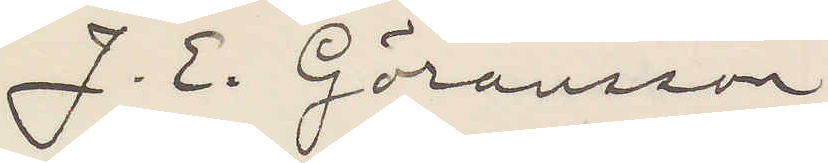J. E. Göransson
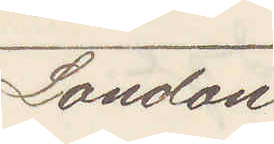London
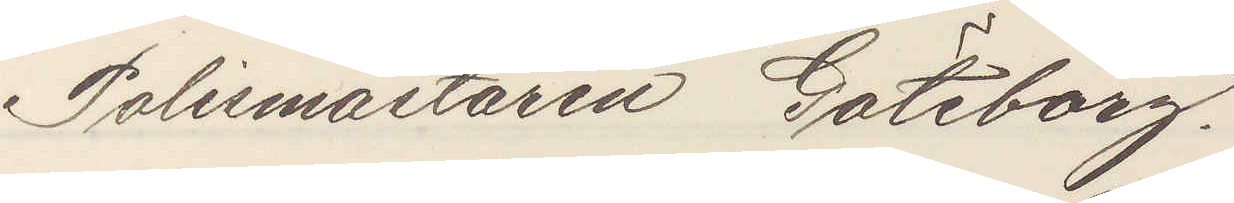Polismästaren Göteborg.
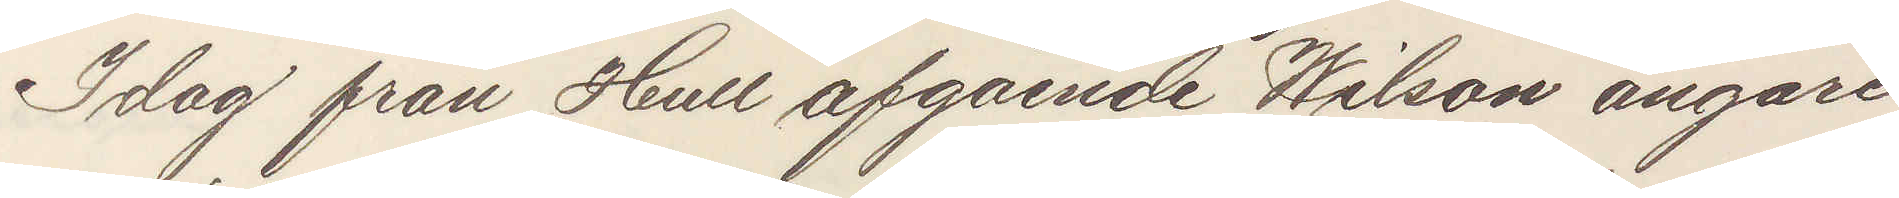Idag från Hull afgående Wilson ångare
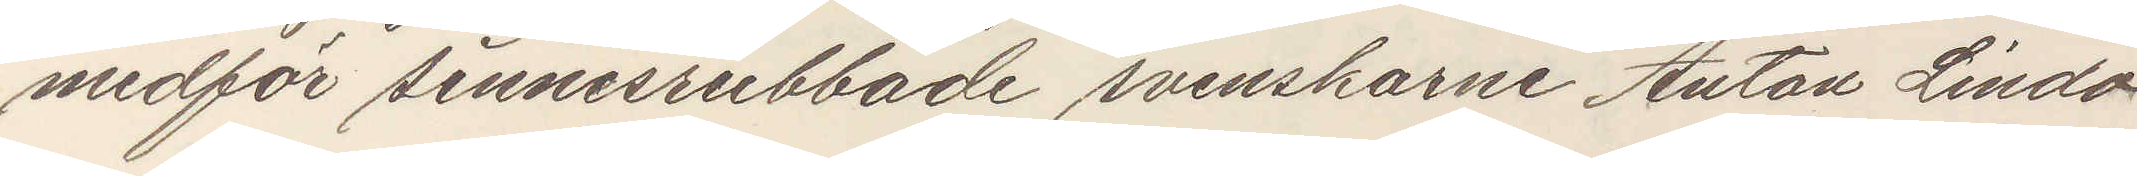medför sinnesrubbade svenskarne Anton Lindö
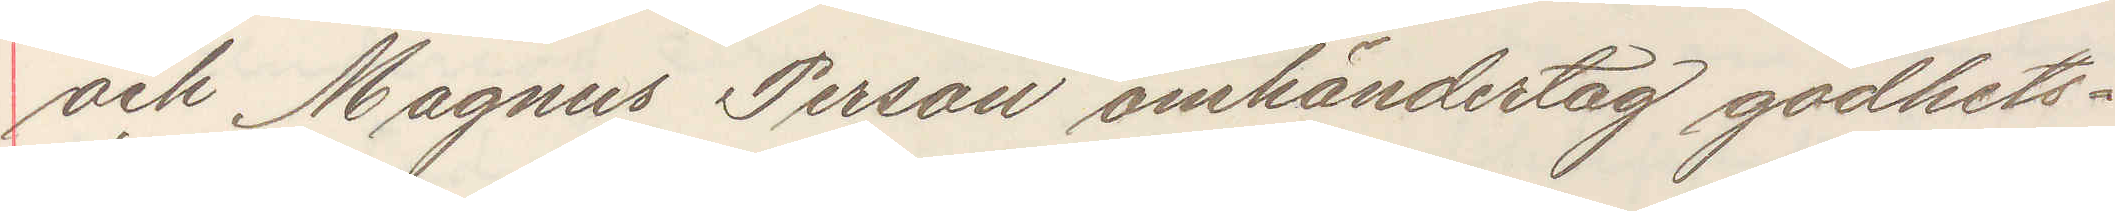och Magnus Person omhänderta godhets¬
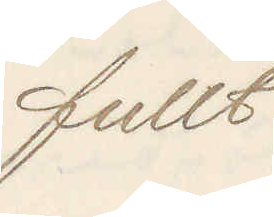fullt
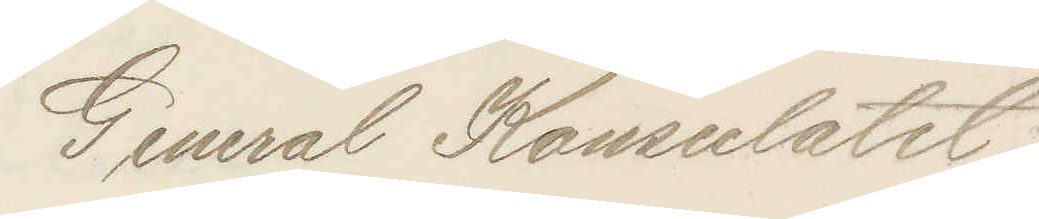General Konsulatet.
